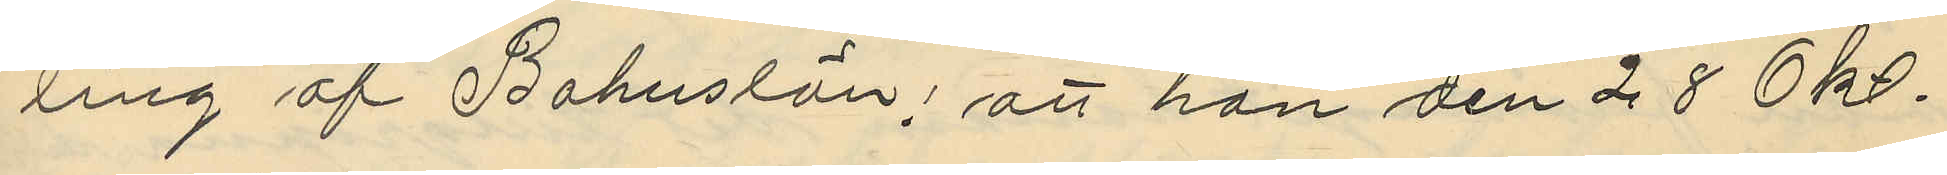ling af Bohuslän; att han den 28 Okto¬
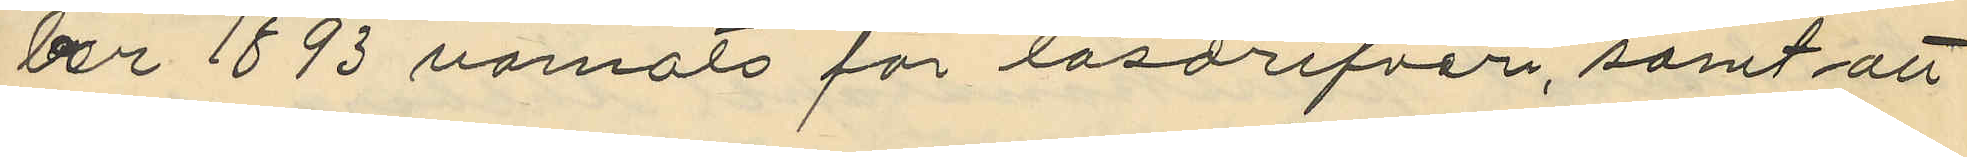ber 1893 varnats för lösdrifveri, samt att
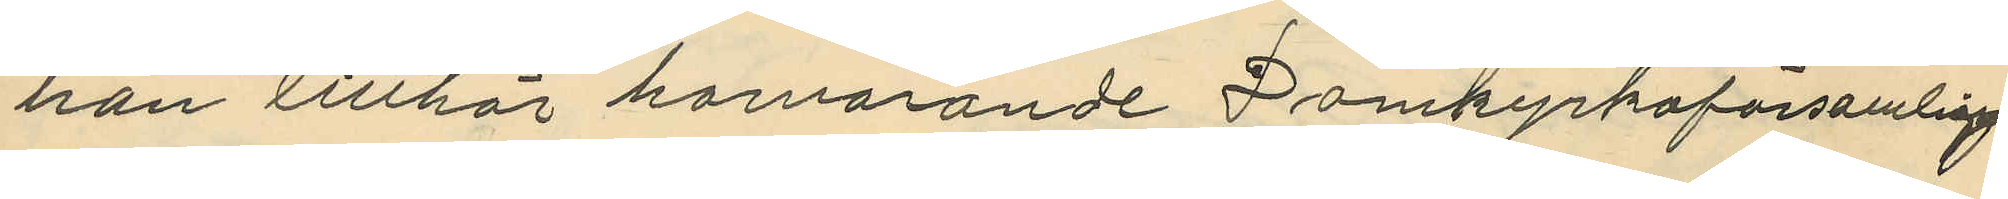han tillhör härvarande Domkyrkoförsamling
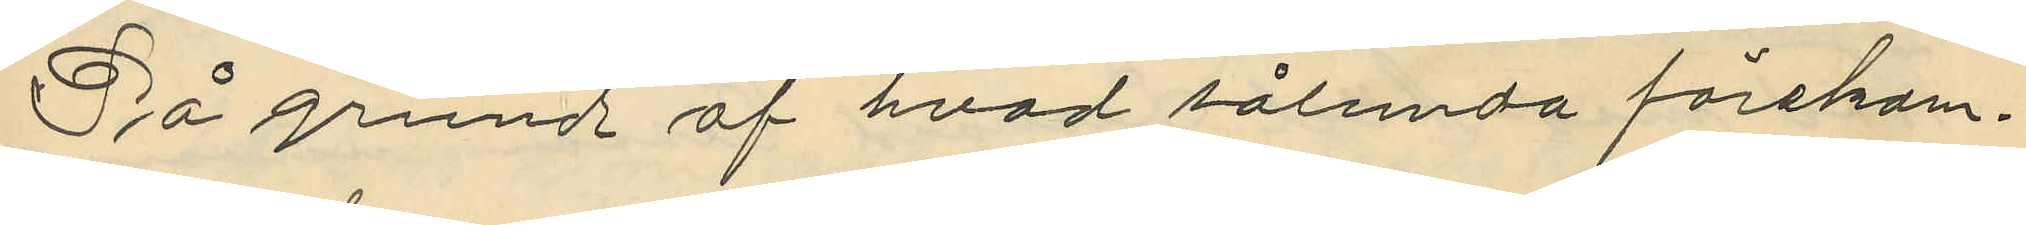På grund af hvad sålunda förekom¬
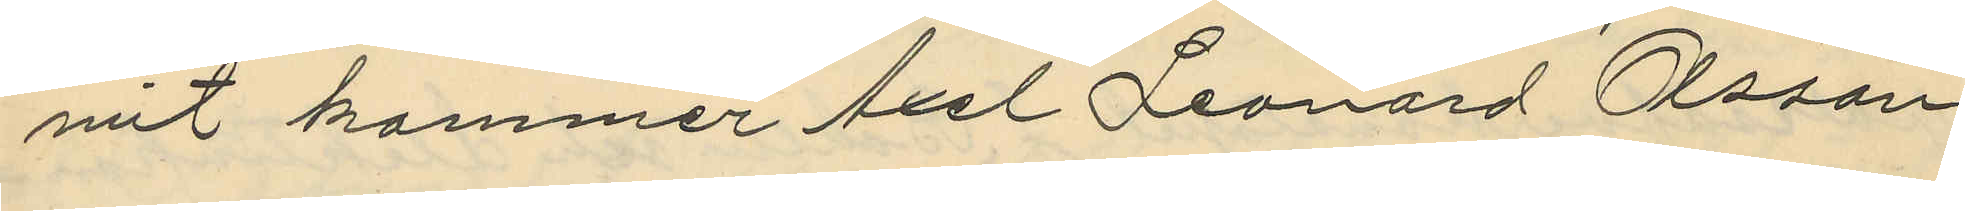nt kommer Axel Leonard Olsson
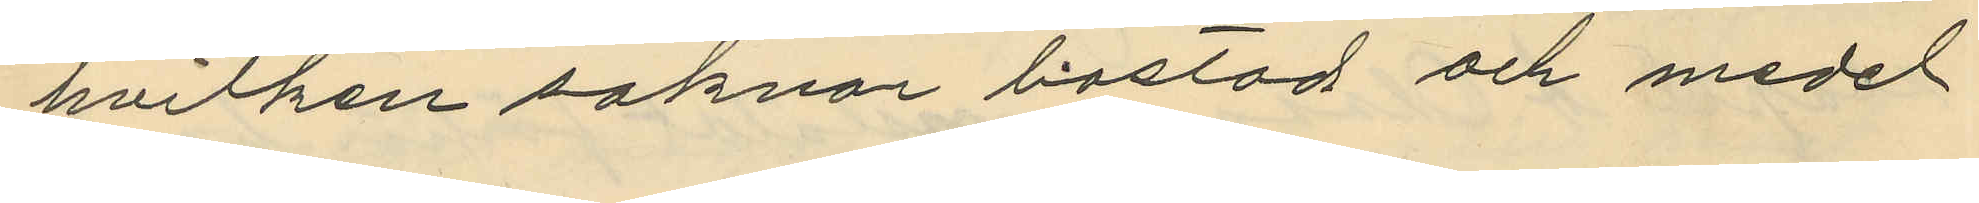hvilken saknar bostad och medel
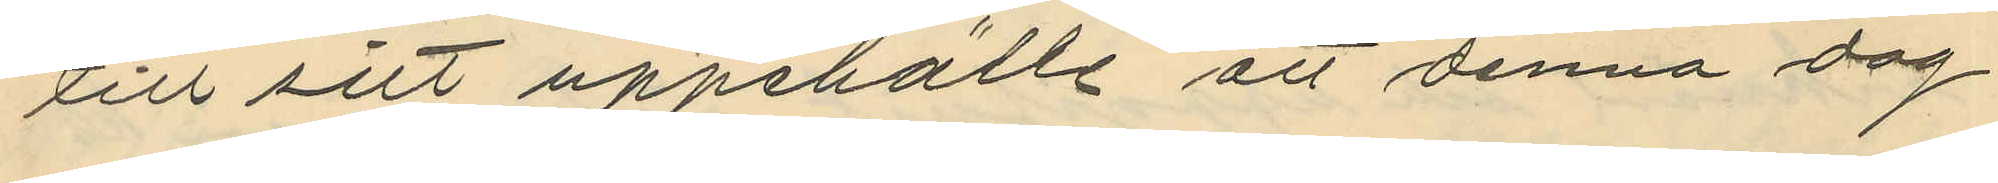till sitt uppehälle att denna dag
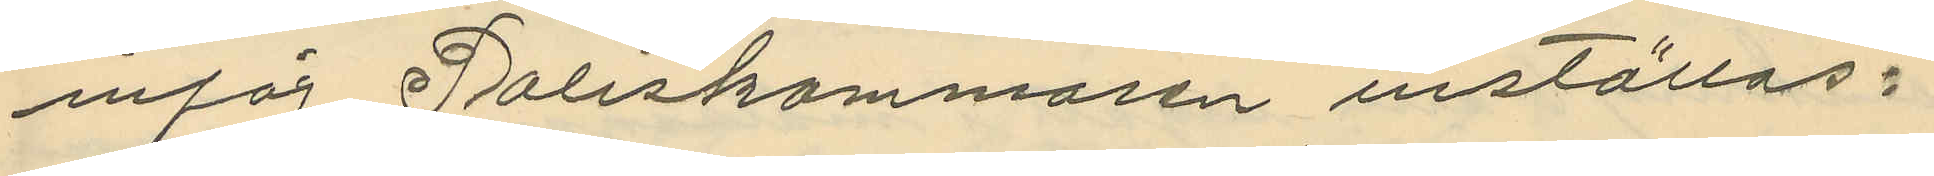inför Poliskammaren inställas.
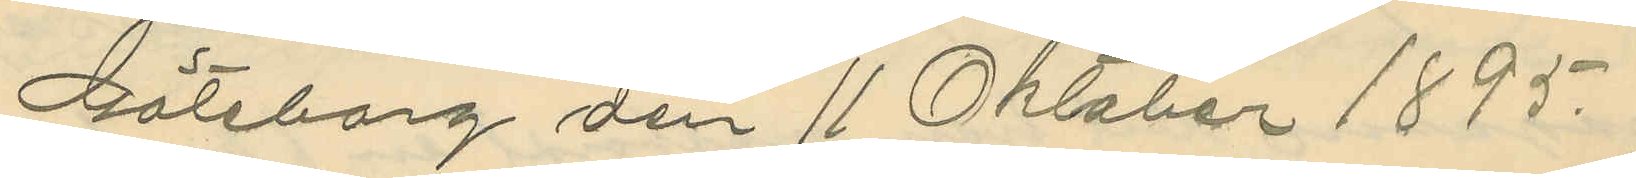Göteborg den 11 Oktober 1895.
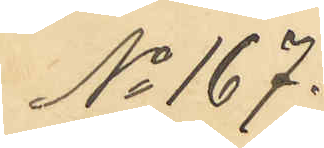No 167.
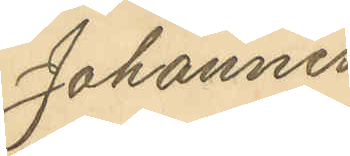Johannes
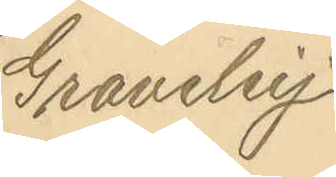Graveley
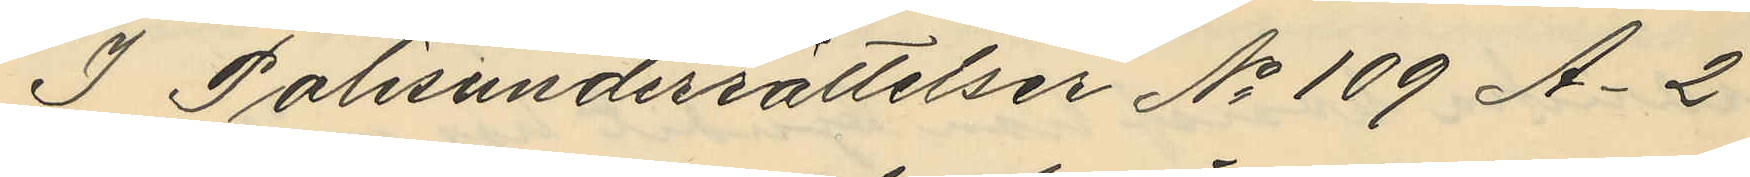I Polisunderrättelser No 109 A. 2
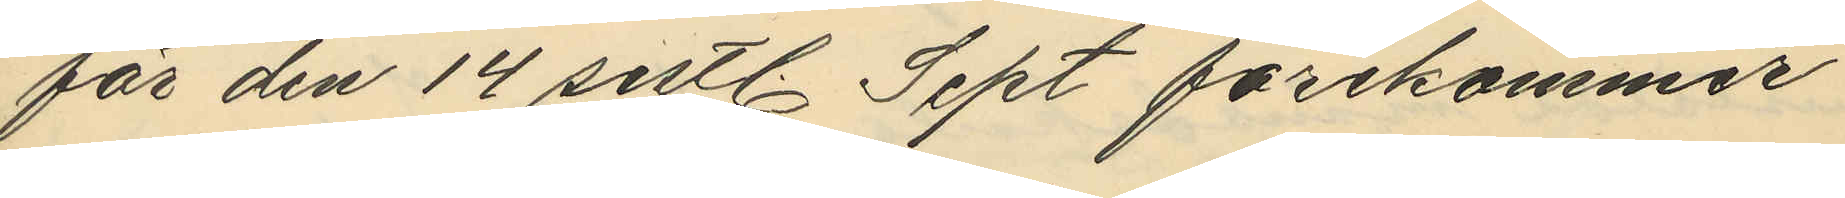för den 14 sistl. Sept förekommer
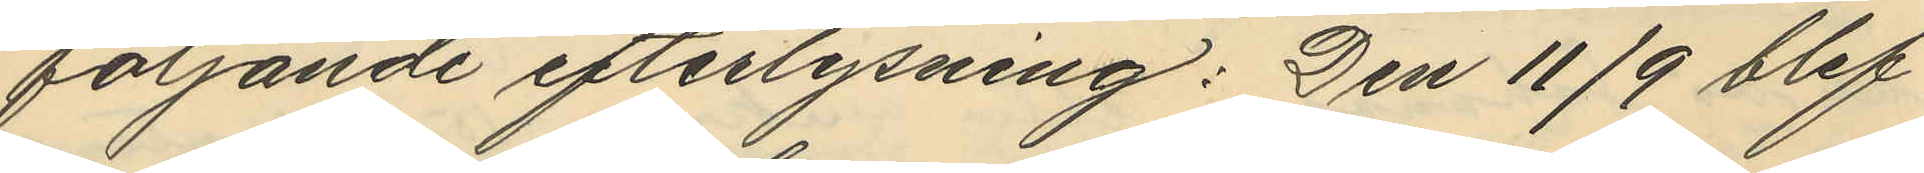följande efterlysning: Den 11/9 blef
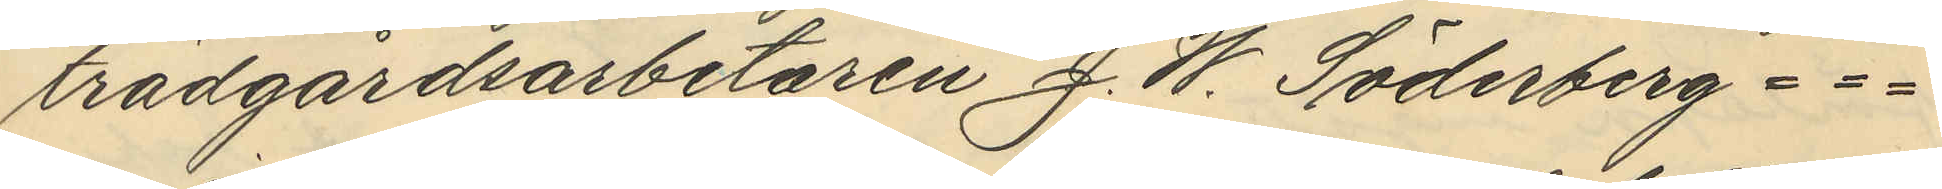trädgårdsarbetaren J. W. Söderberg ===
